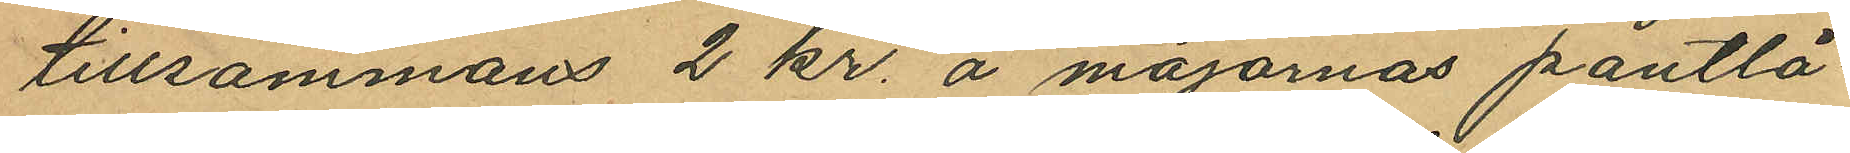tillsammans 2 kr. å majornas pantlå¬
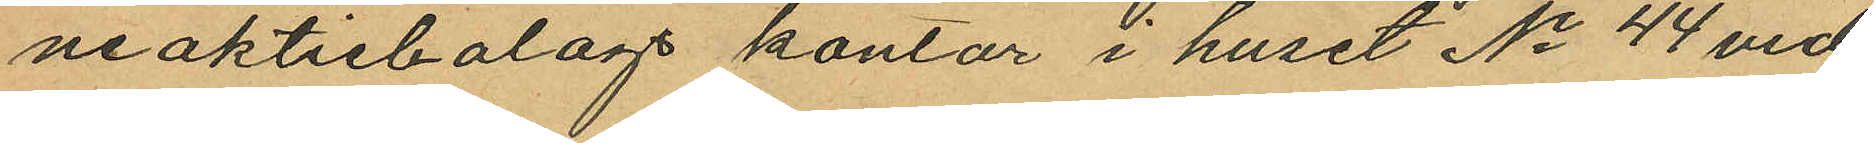neaktiebolags kontor i huset No 44 vid
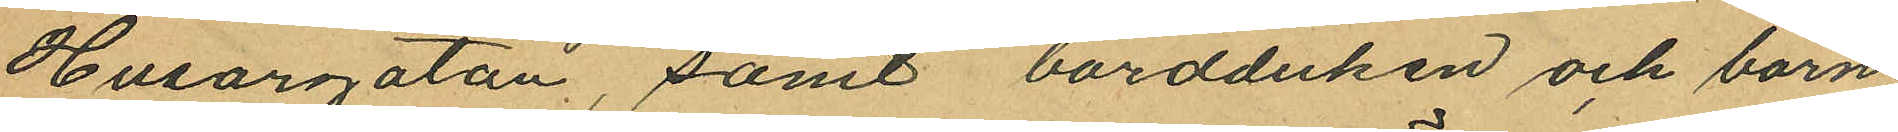Husargatan, samt bordduken och barn¬
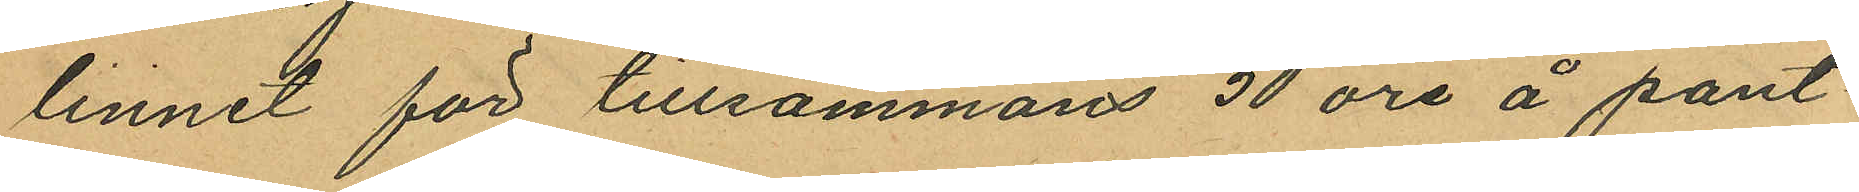linnet för tillsammans 50 öre å pant¬
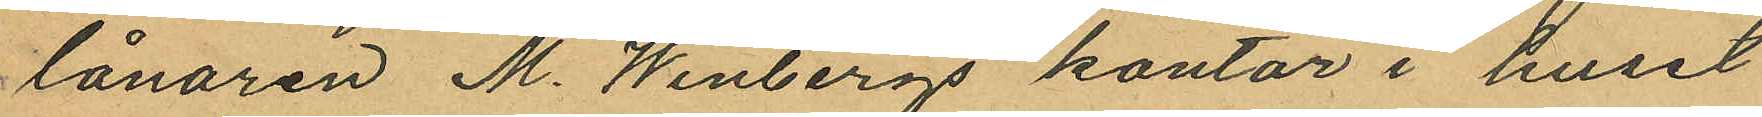lånaren M. Winbergs kontor i huset
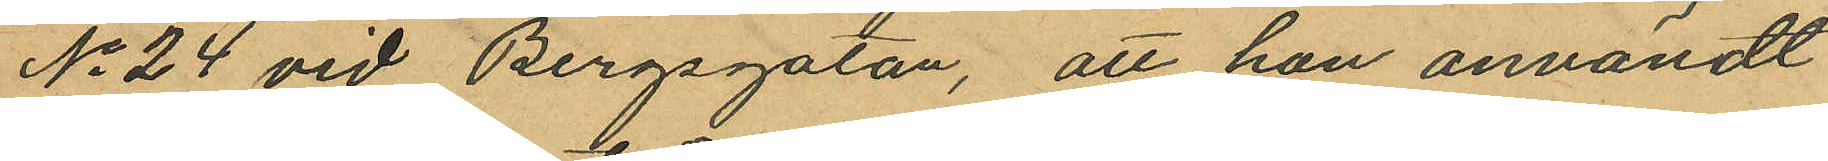No 24 vid Bergsgatan, att hon användt
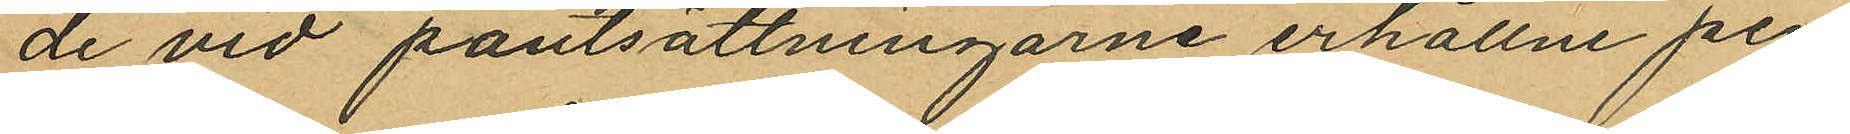de vid pantsättningarne erhållne pen¬
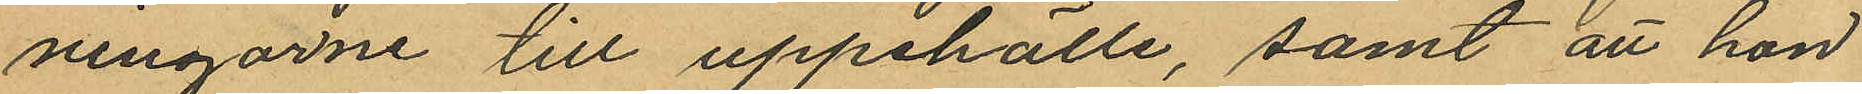ningarne till uppehälle, samt att hon
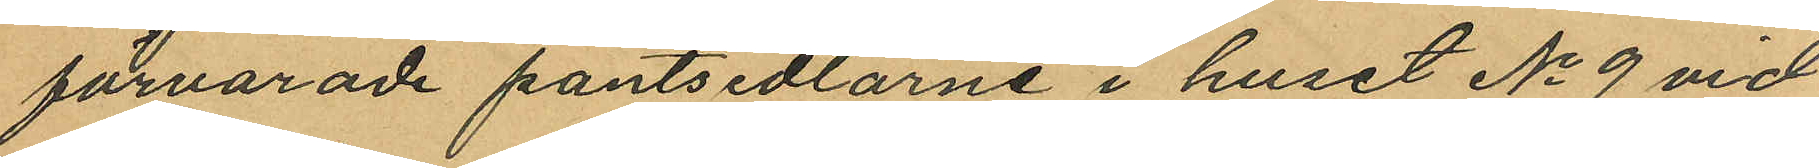förvarade pantsedlarne i huset No 9 vid
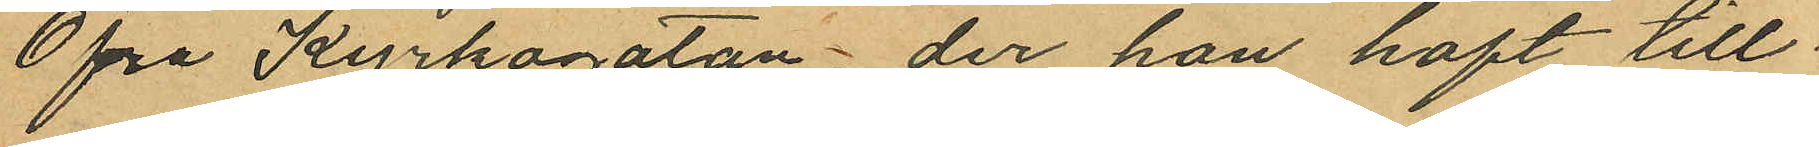Öfra Kyrkogatan, der hon haft till¬
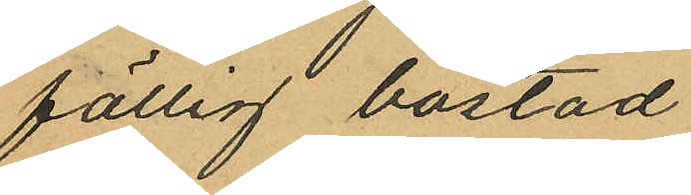fällig bostad.
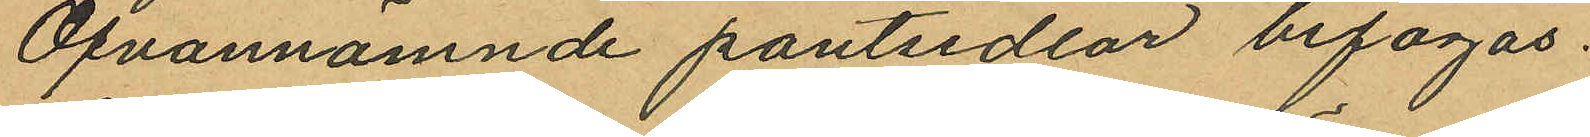Ofvannämnde pantsedlar bifogas.
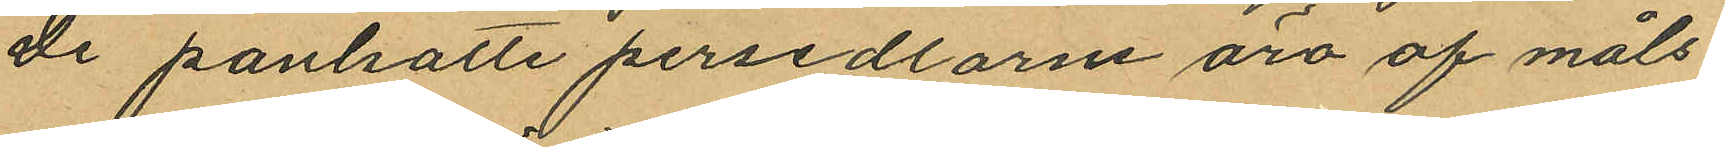De pantsatte persedlarne äro af måls¬
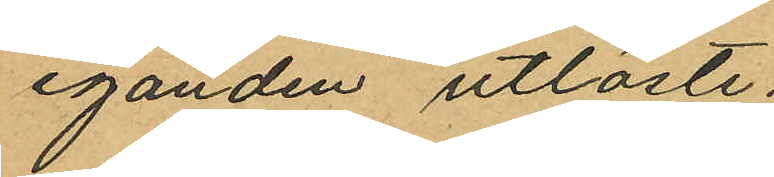eganden utlöste.
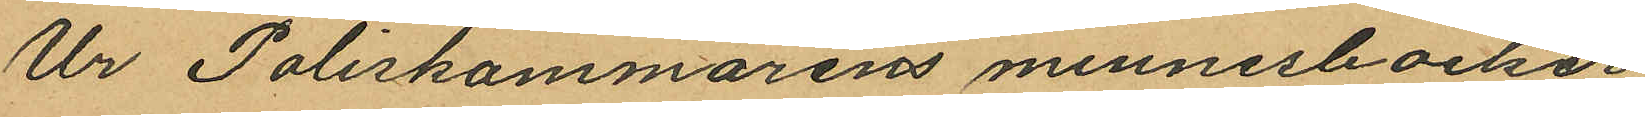Ur Poliskammarens minnesböcker
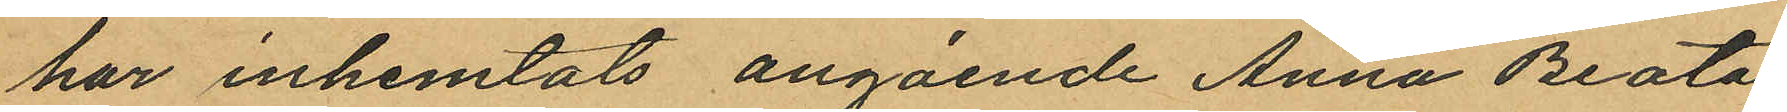har inhemtats angående Anna Beata
